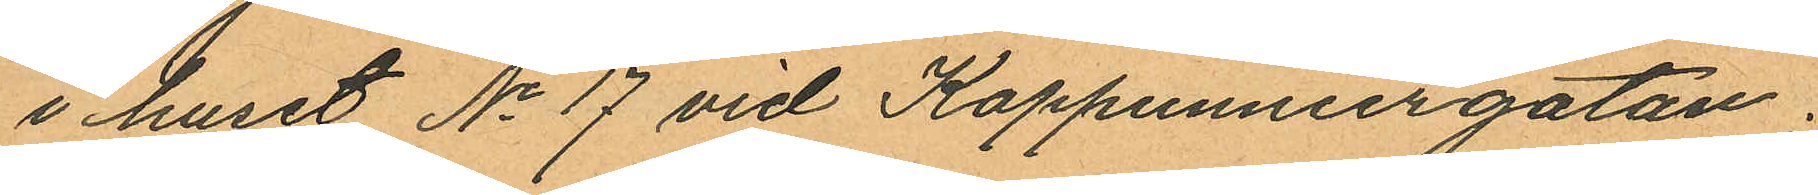i huset No 17 vid Kappunniergatan;
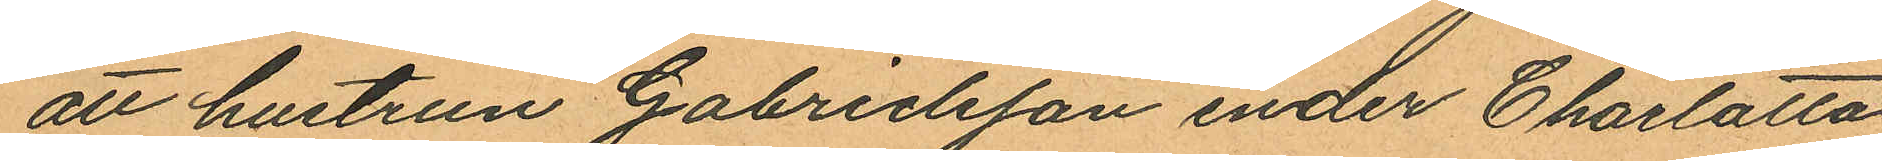att hustrun Gabrielsson under Charlotta
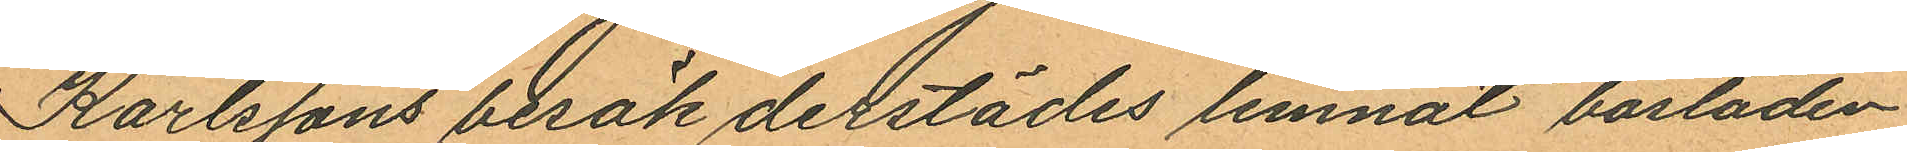Karlssons besök derstädes lemnat bostaden
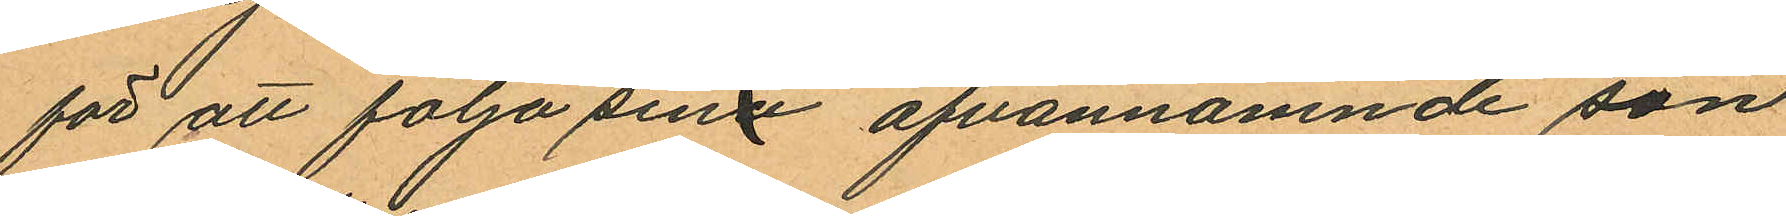för att följa sina ofvannämnde son
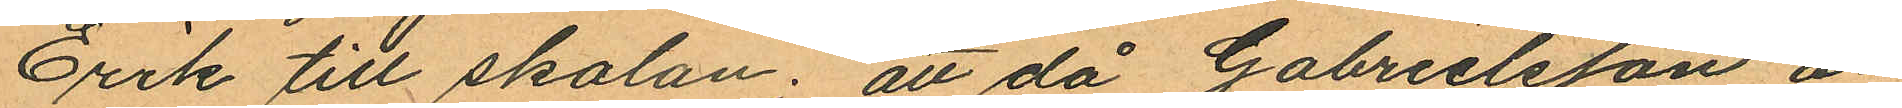Erik till skolan; att då Gabrielsson å¬
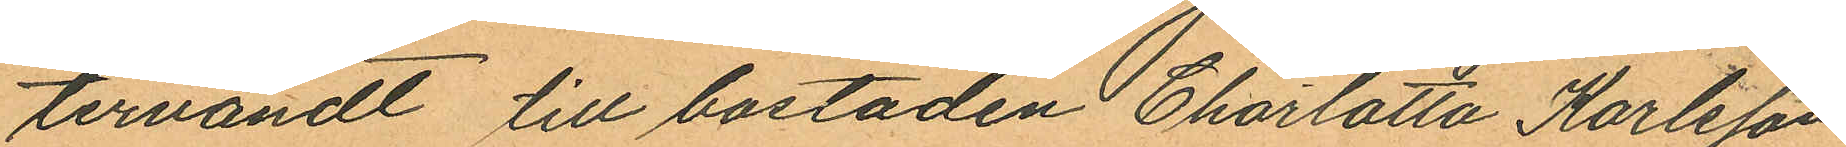tervändt till bostaden Charlotta Karlsson
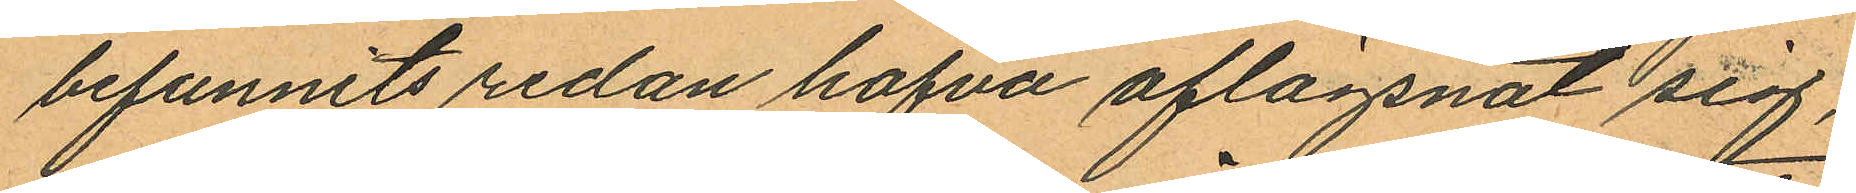befunnits redan hafva aflägsnat sig;
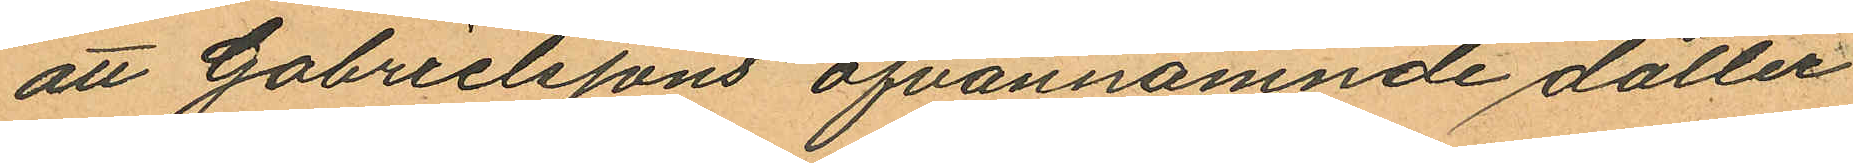att Gabrielssons ofvannämnde dotter
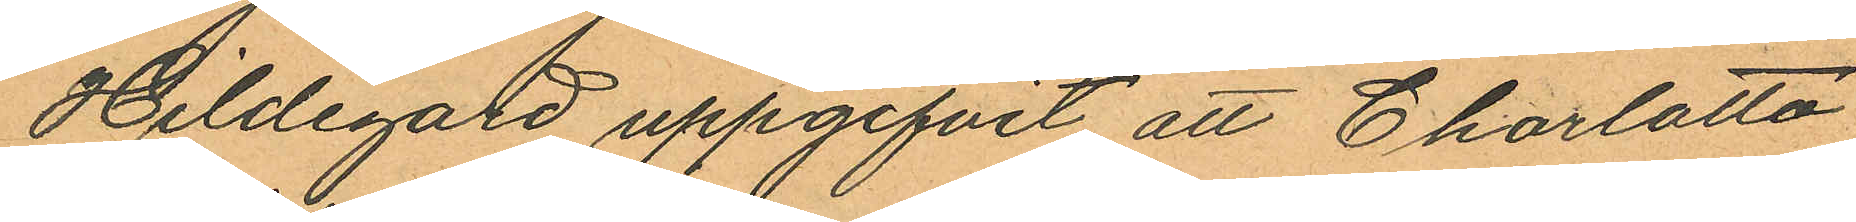Hildegard uppgifvit att Charlotta
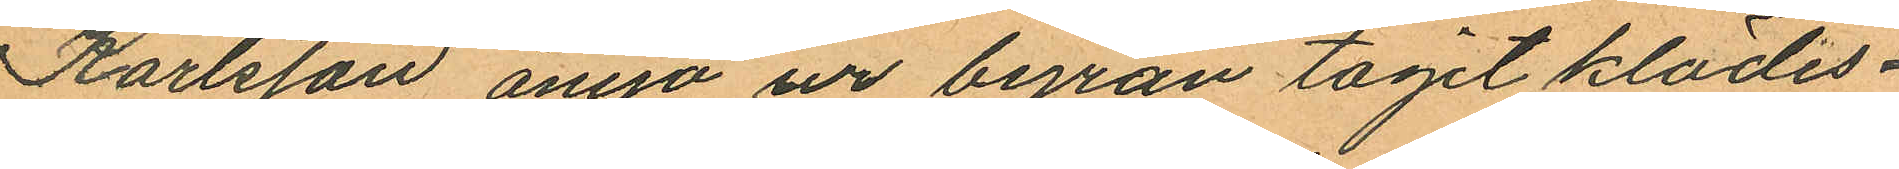Karlsson ånyo ur byrån tagit klädes¬
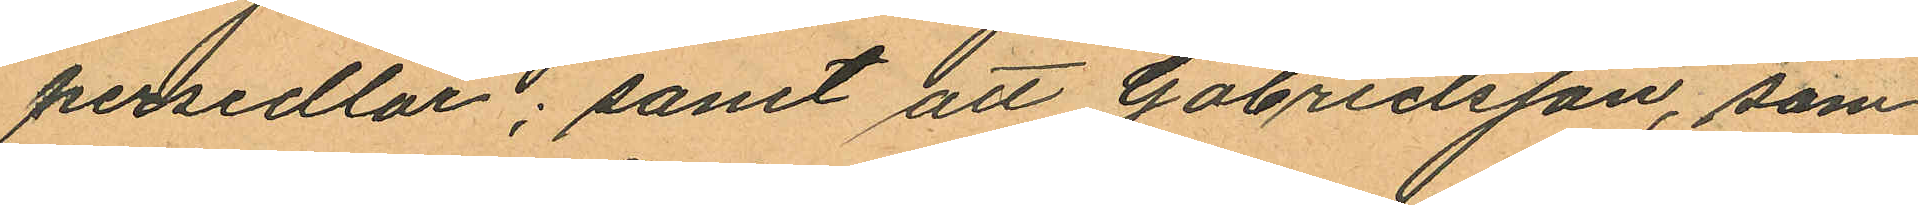persedlar; samt att Gabrielsson, som
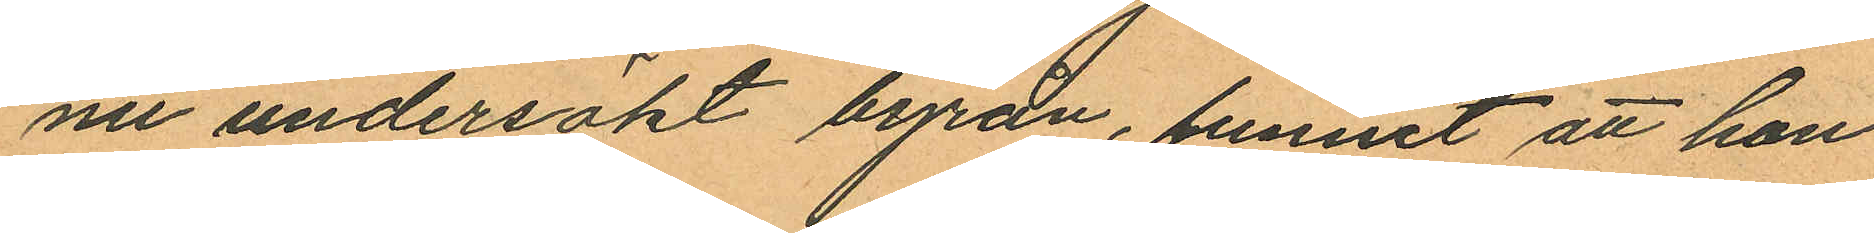nu undersökt byrån, funnit att hon
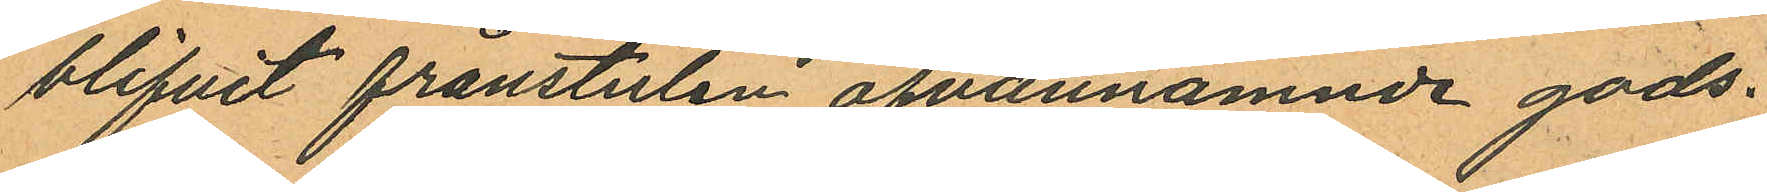blifvit frånstulen ofvannämnde gods.
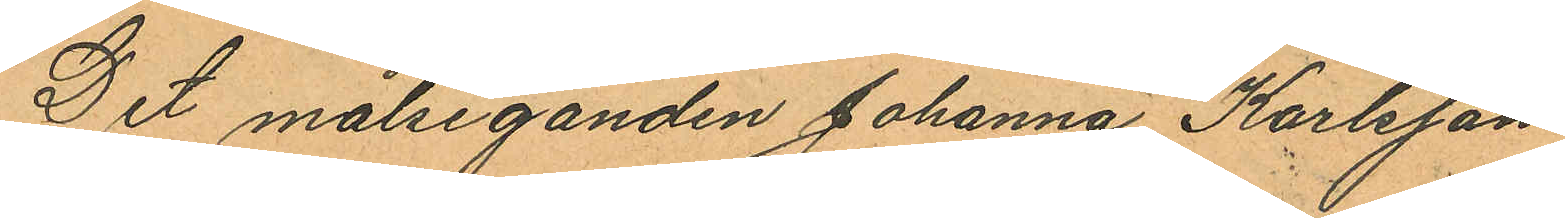Det målseganden Johanna Karlsson
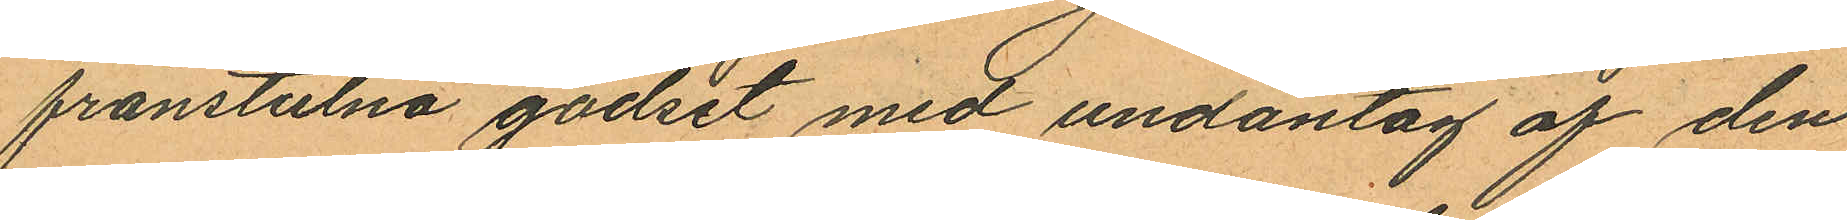frånstulna godset med undantag af den
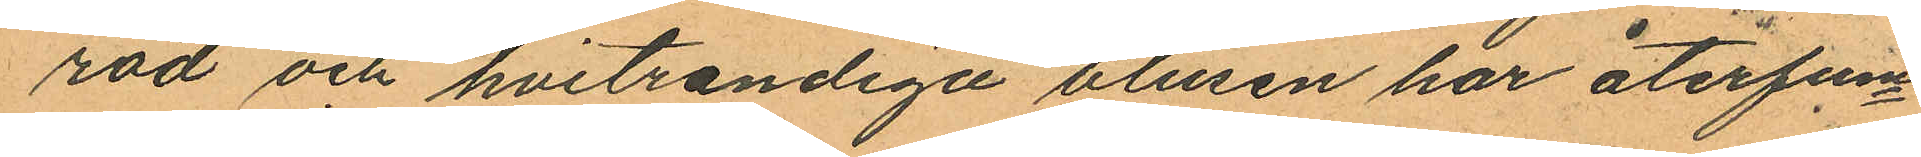röd och hvitrandiga blusen har återfun¬
